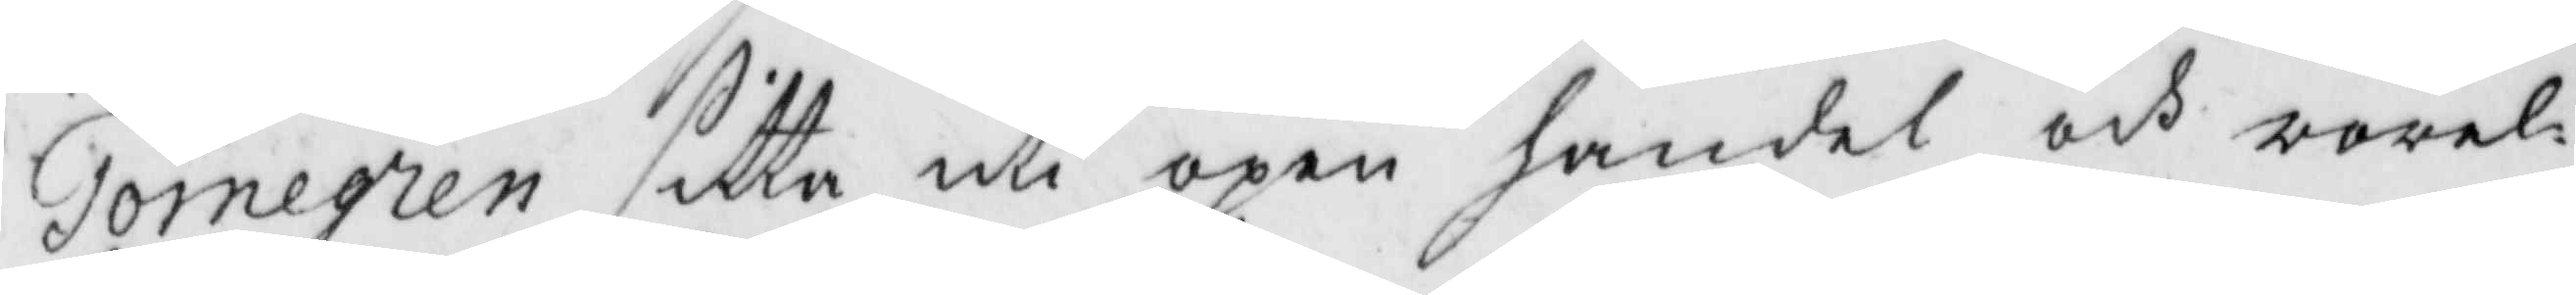Törnegren sitta uti öpen handel och rörel¬
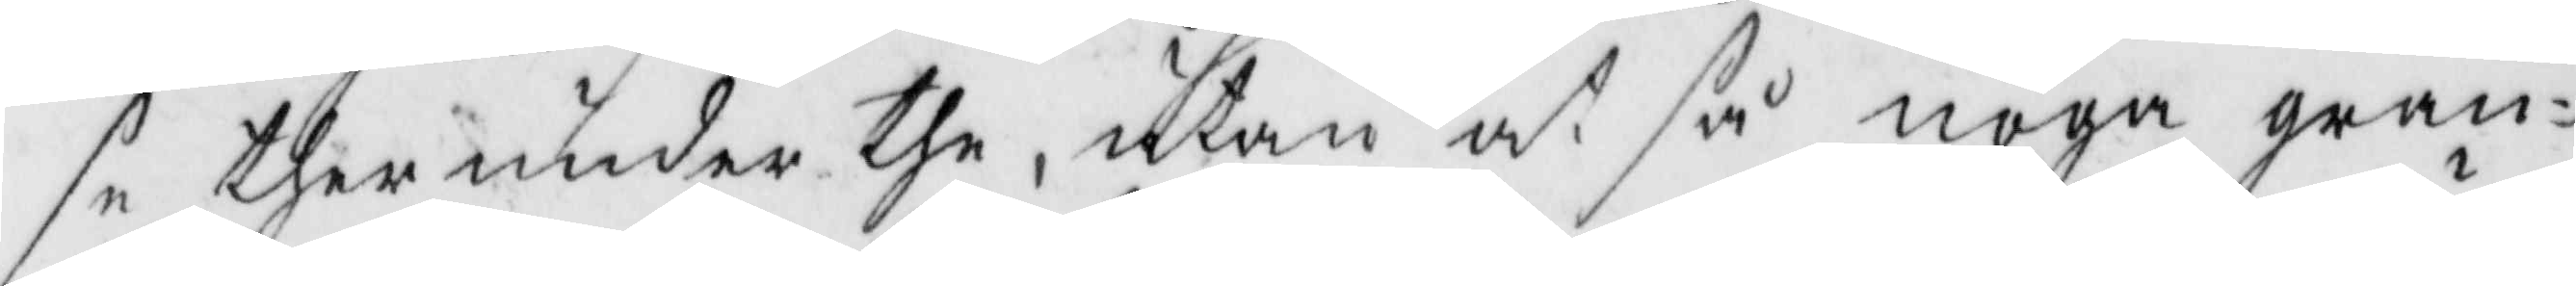se ther under the, utan at så noga gran¬
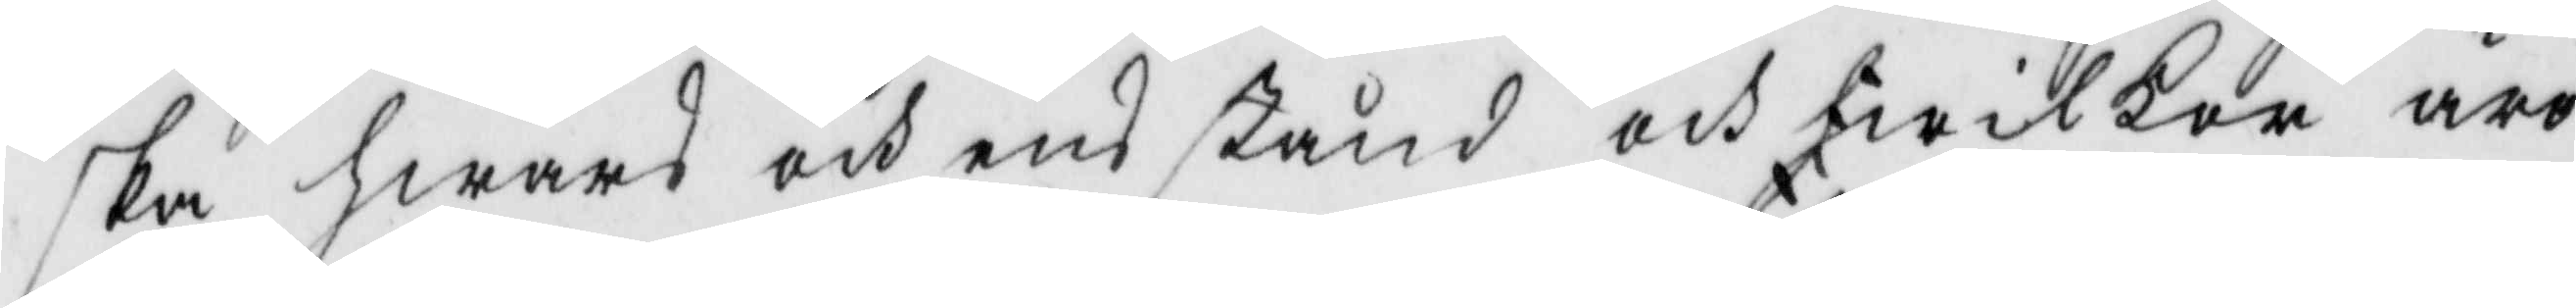ska hwars och ens stånd och hwilkor äro
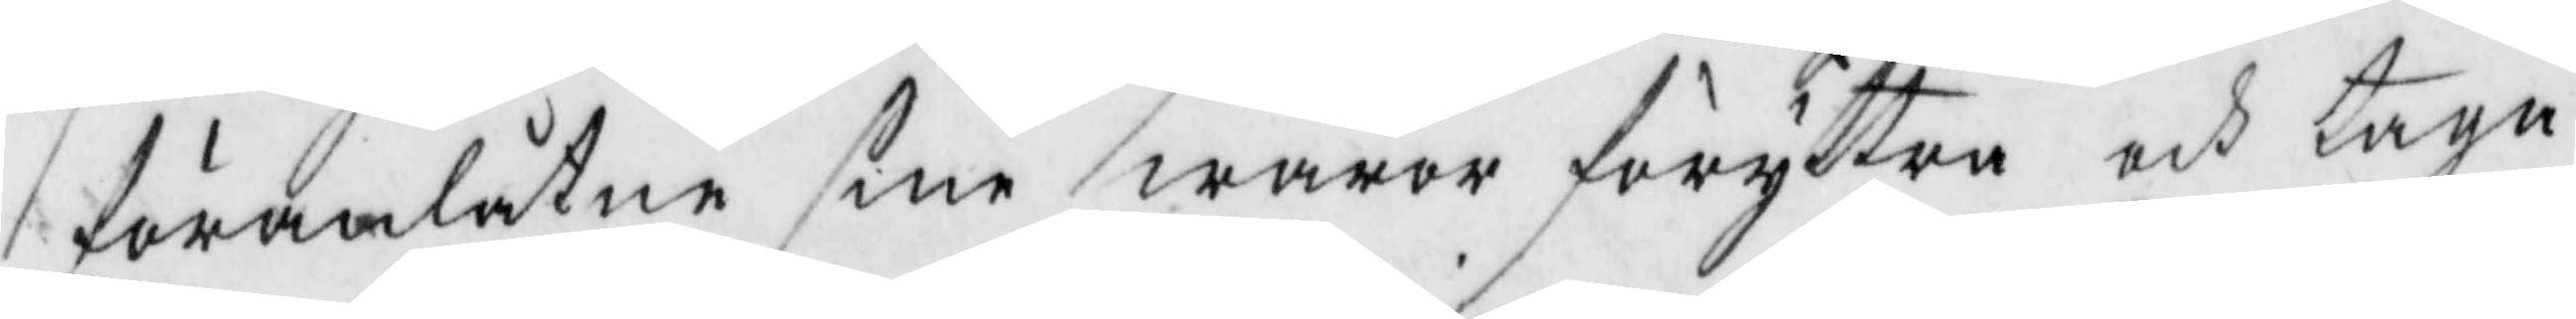föranlåtne sine waroro föryttra och taga
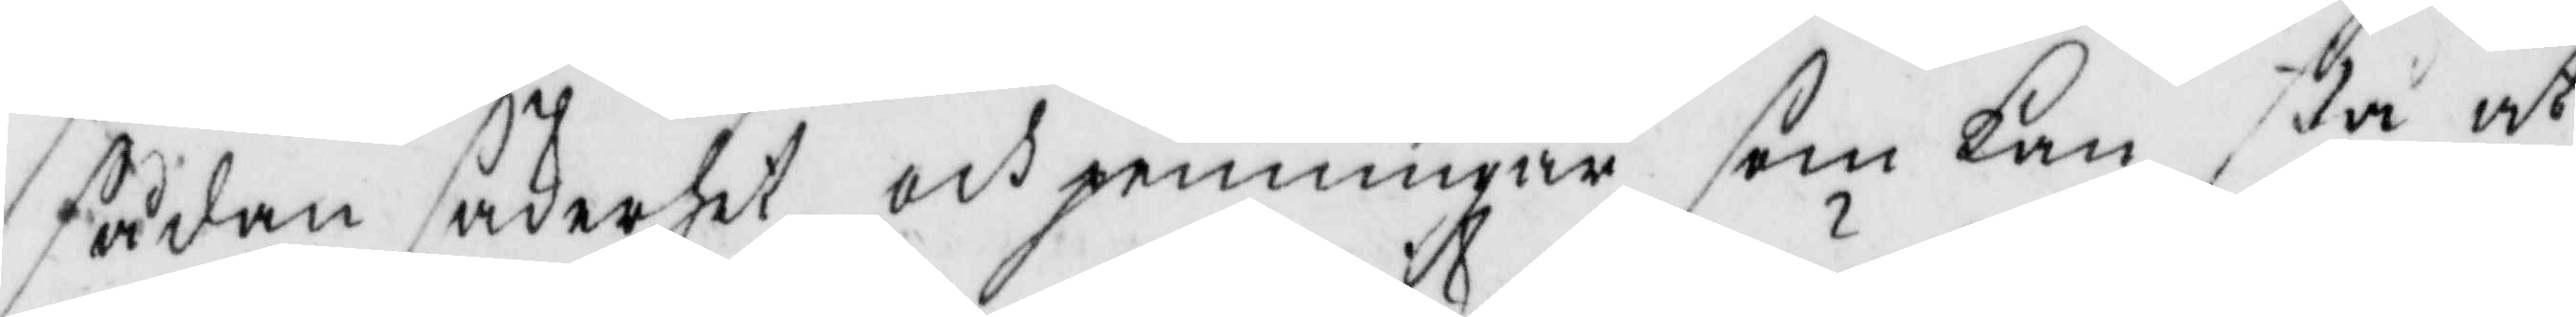sådan säkerhet och penningar som kan stå at
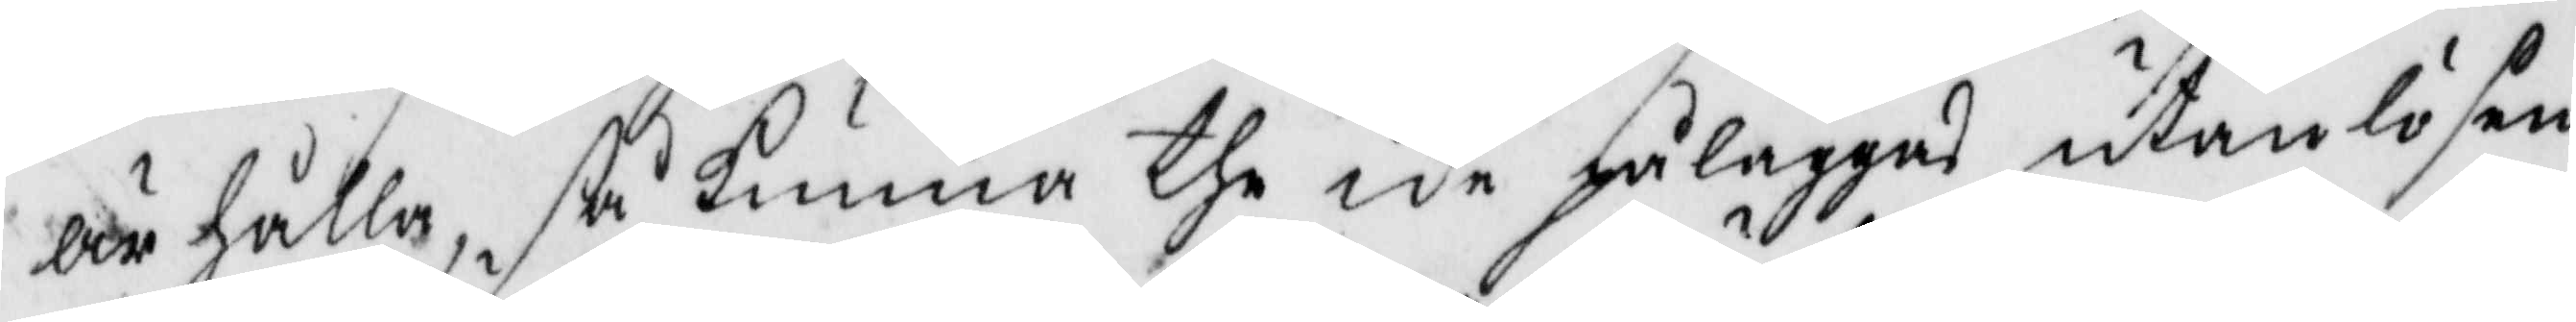ärhålla, så kunna the icke påläggas utan lösen
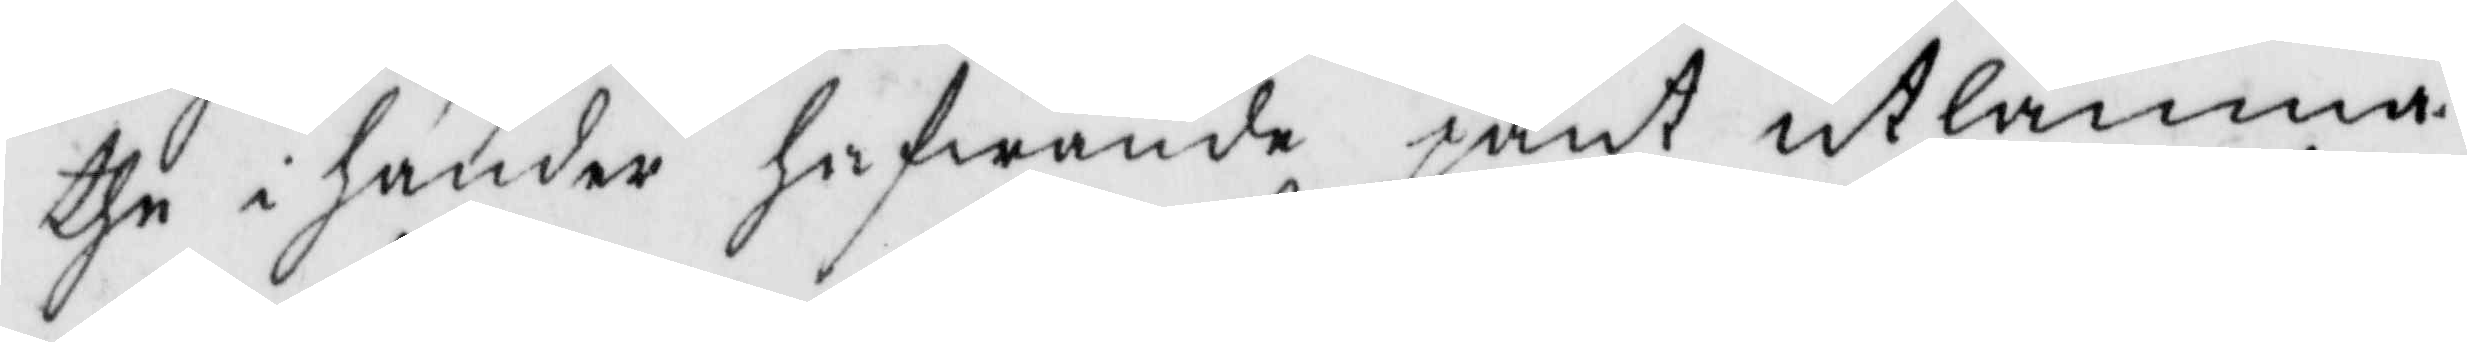the i händer hafwande pant utlämna.
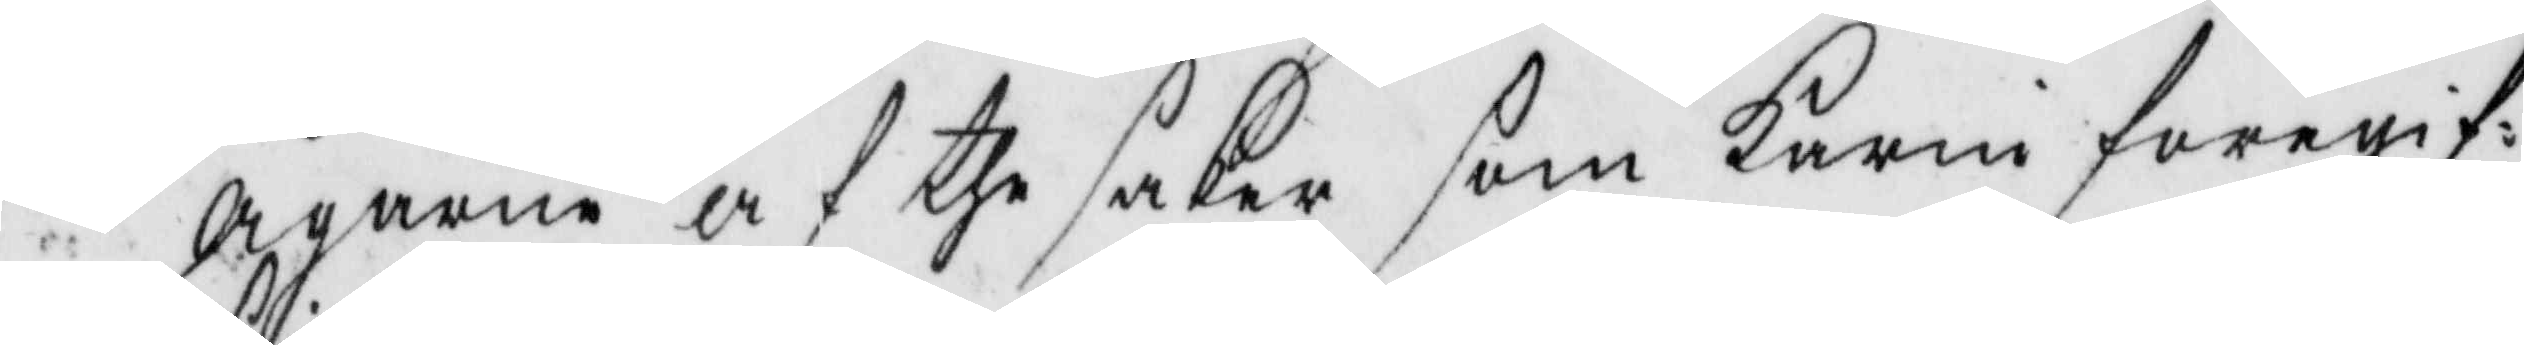Ägarne af the saker som Karin foregif¬
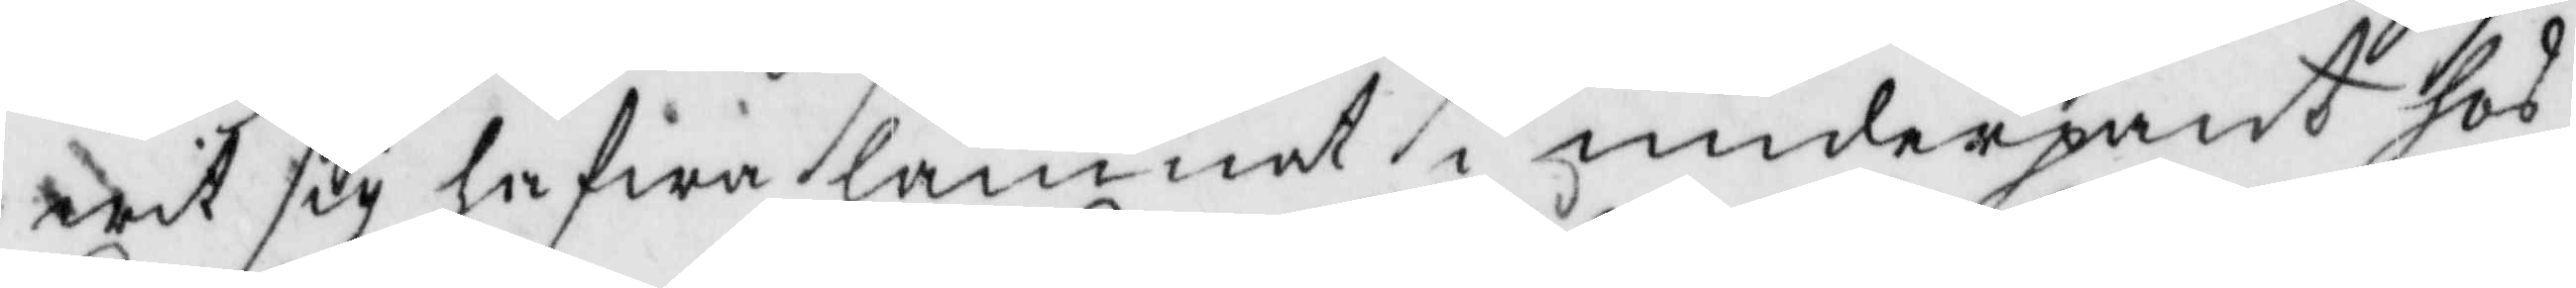wit sig hafwa lamnat i underpant hos
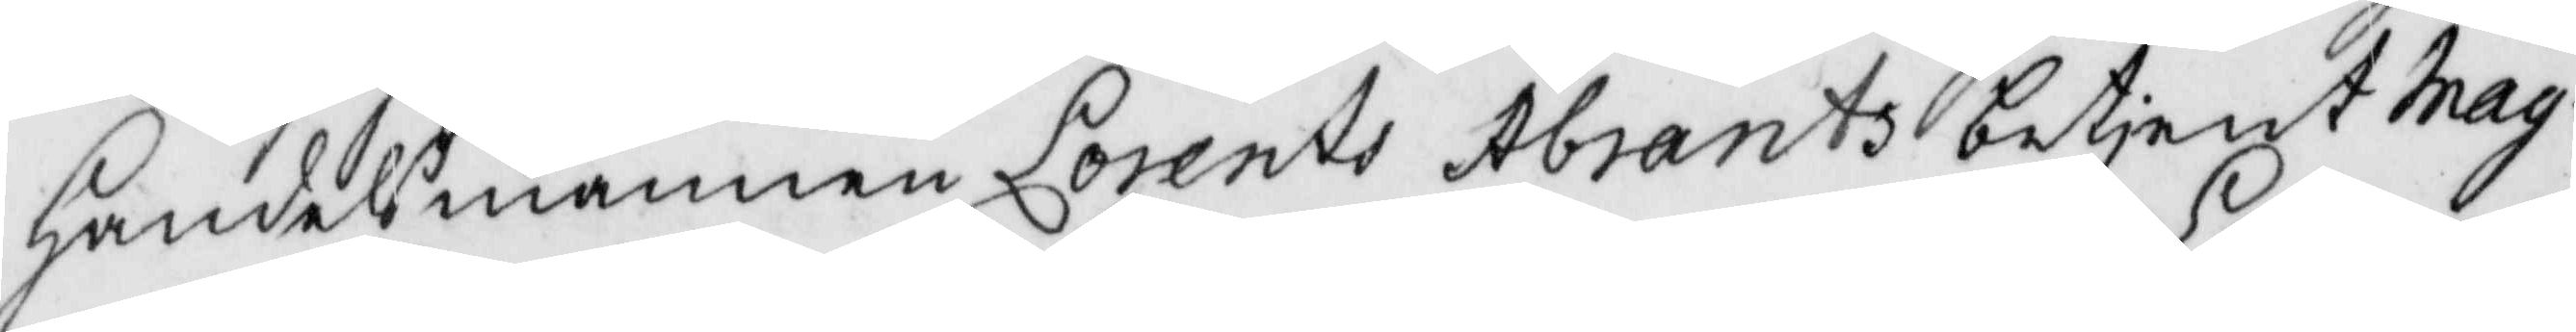handelsmannen Lorets Åbrants betjent Mag¬
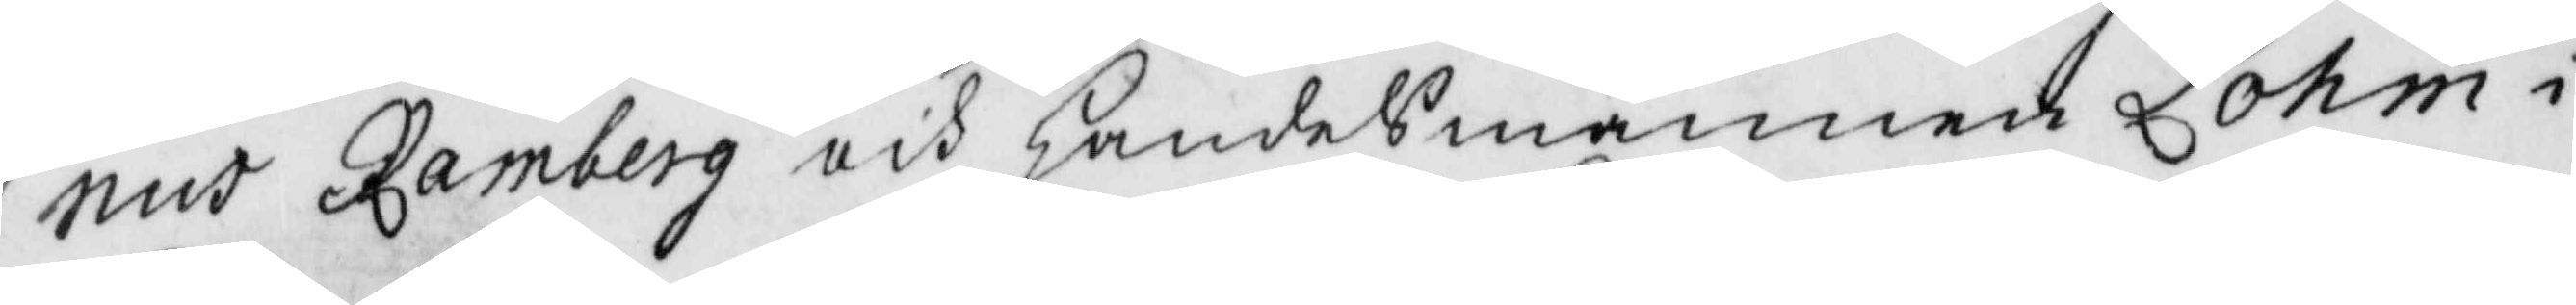nus Ramberg och handelsmannen Lohm i
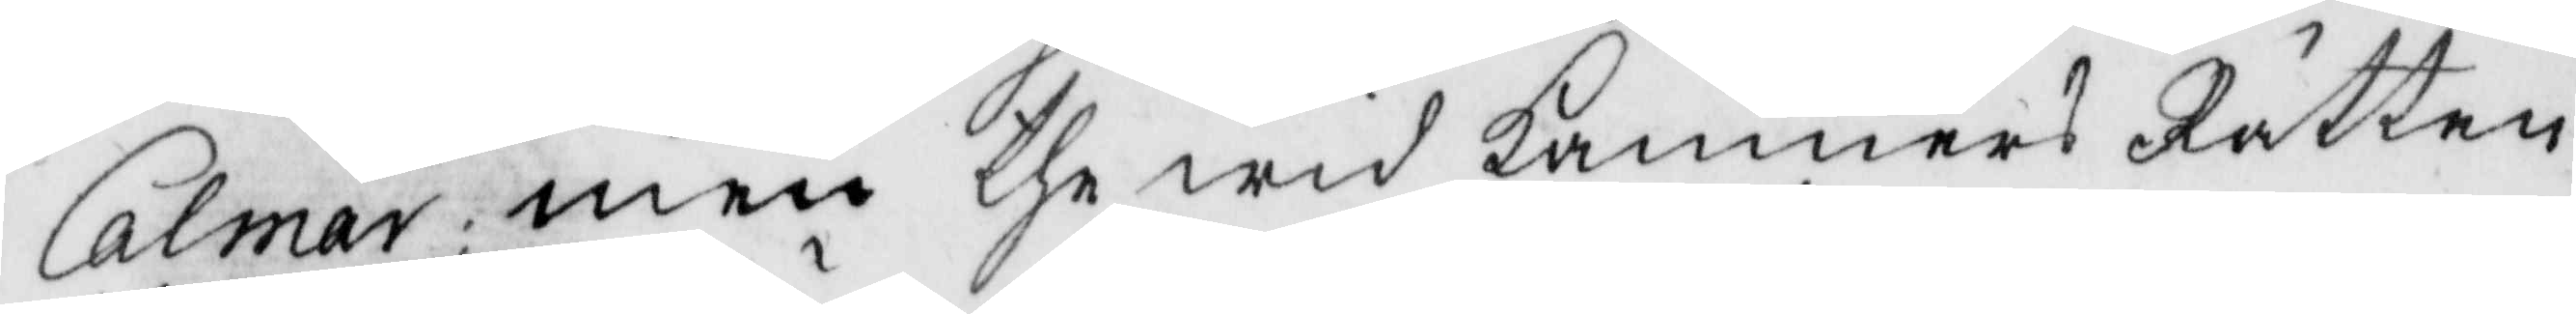Calmar; men the wid Kämners Rätten
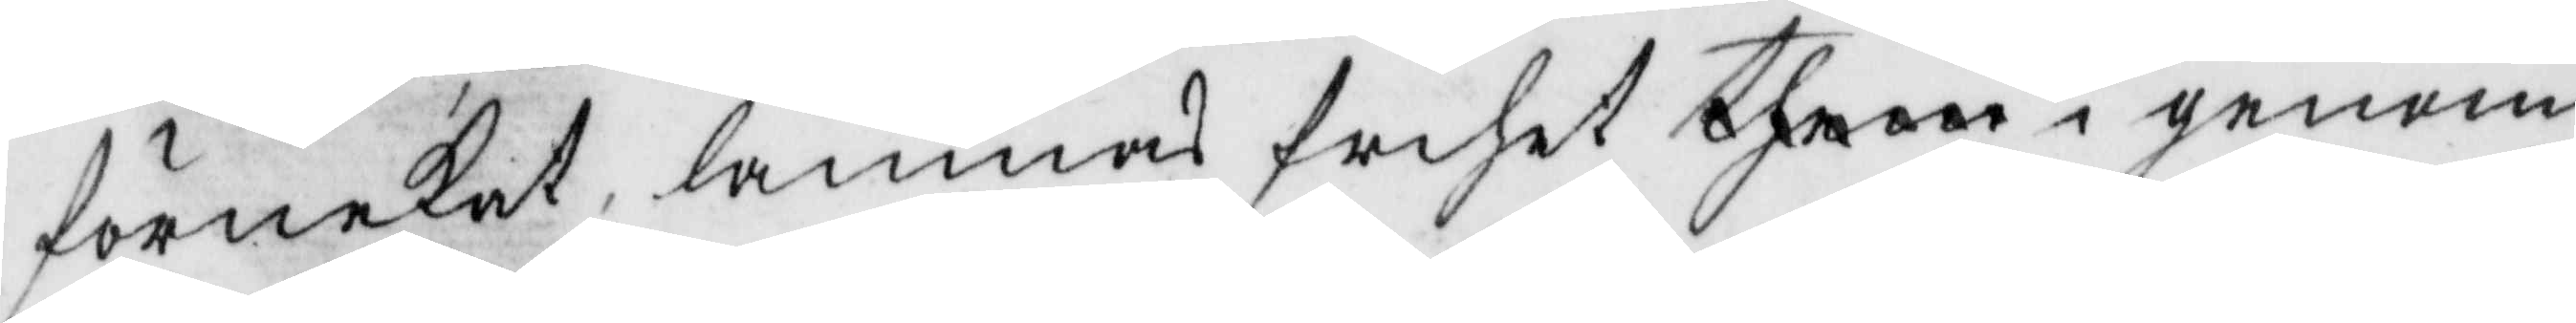förnekat lämnas frihet them i genom
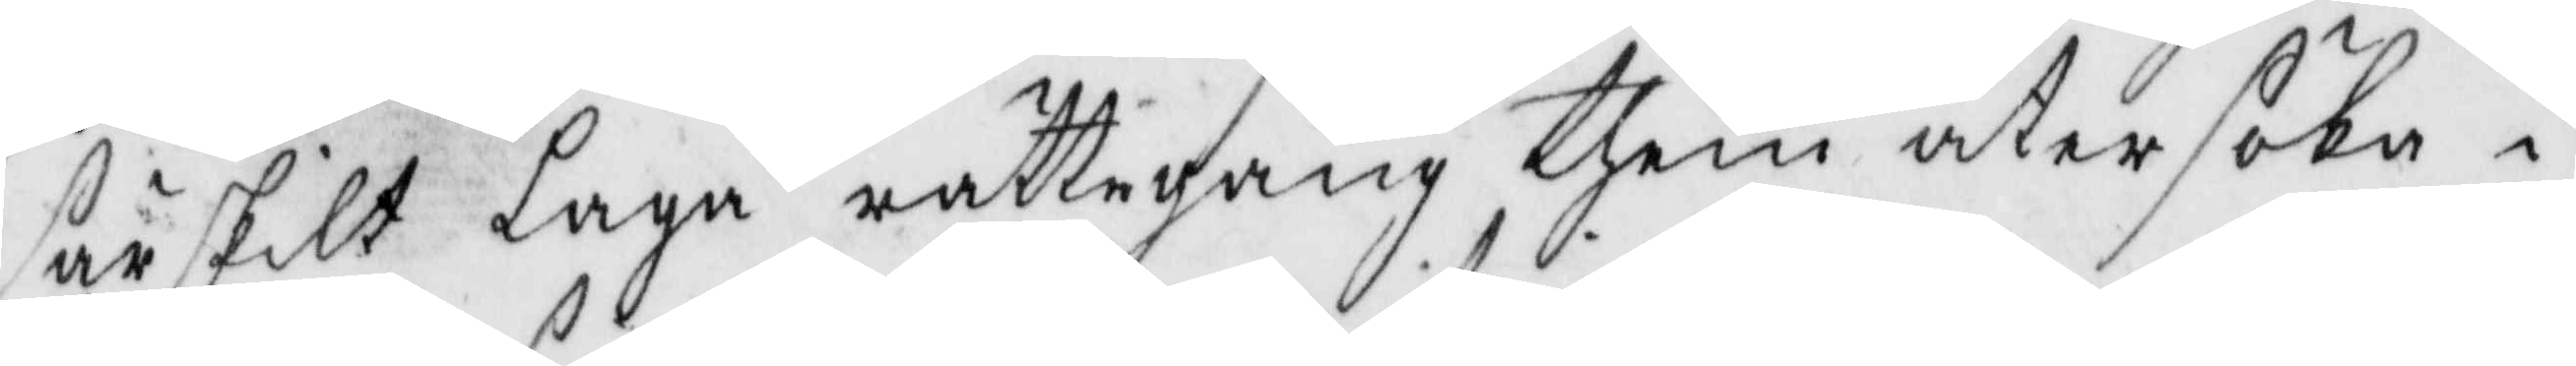särskilt Laga rättegång them åter söka i
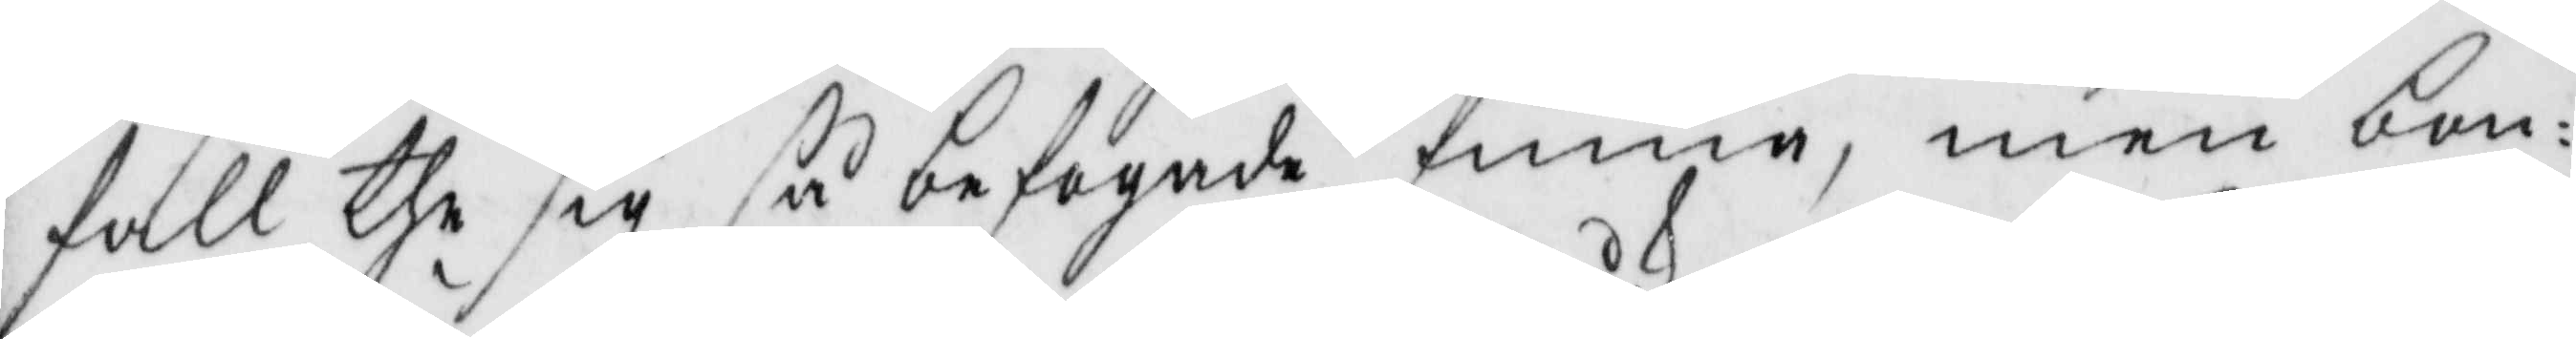fall the sig så befogade finna, men bon¬
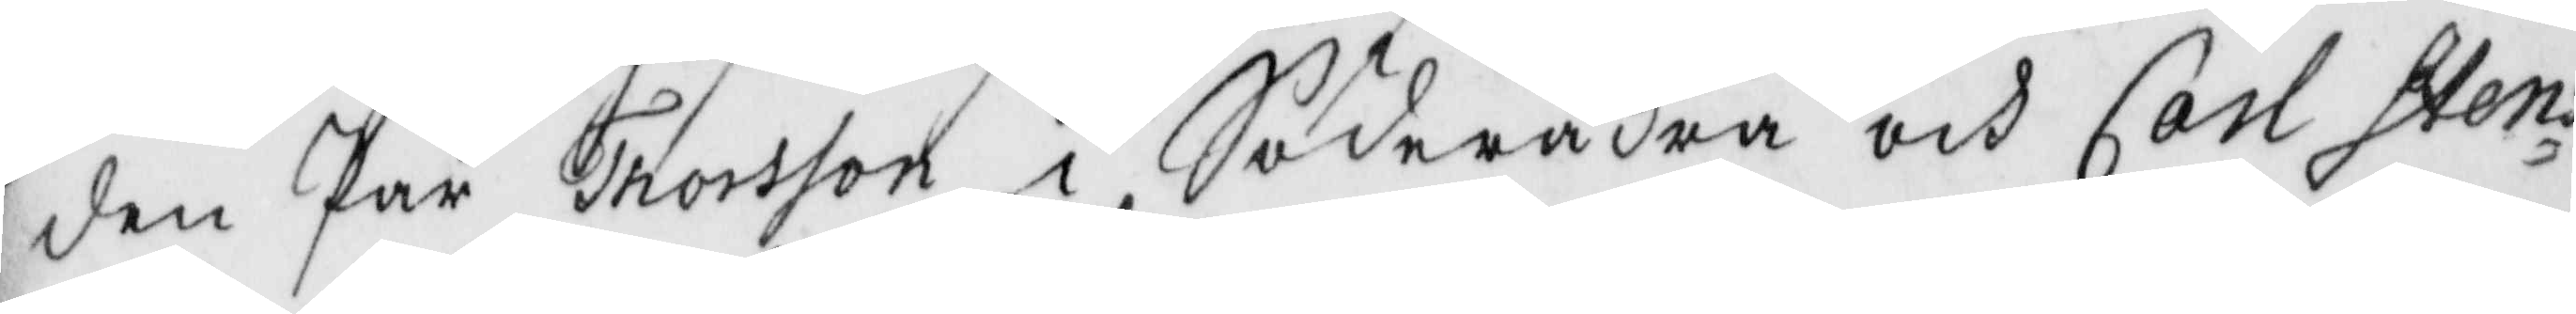den Pär Thorsson i Söderåkra och Carl Stens¬
